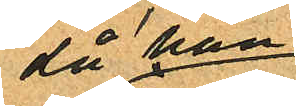då han
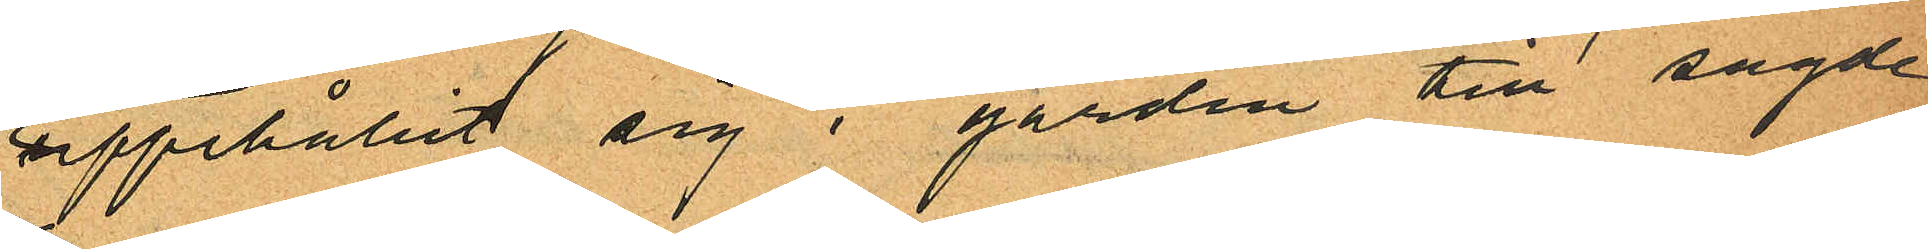uppehållit sig i gården till sagde
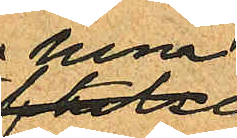hem
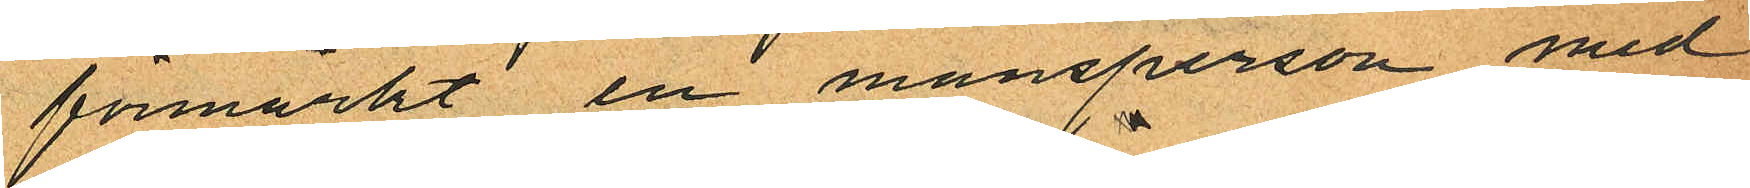förmärkt en mansperson med
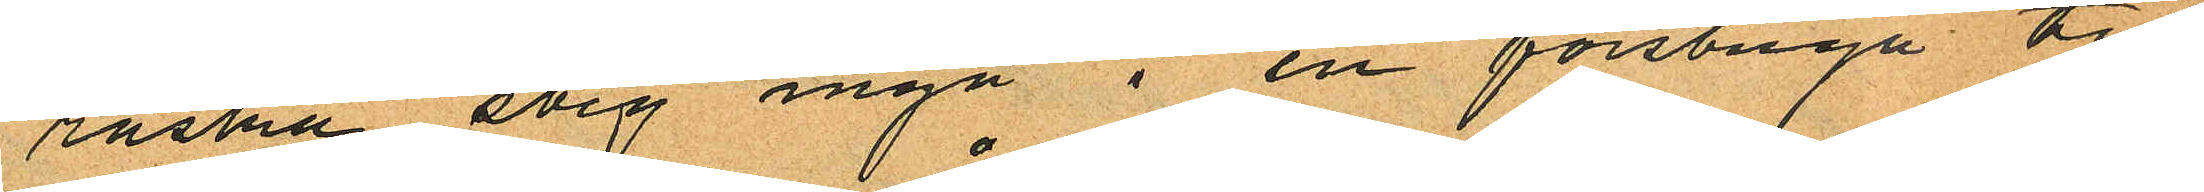raska steg ingå i en förstuga till
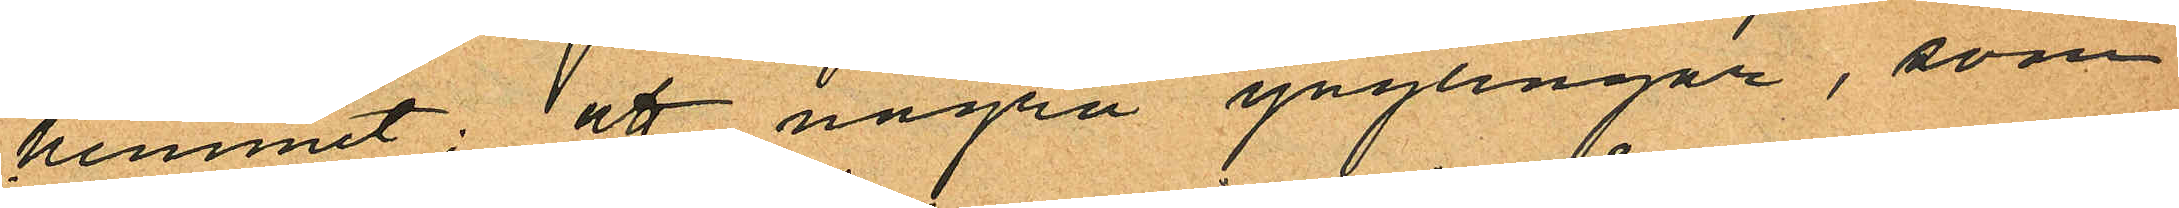hemmet; att några ynglingar, som
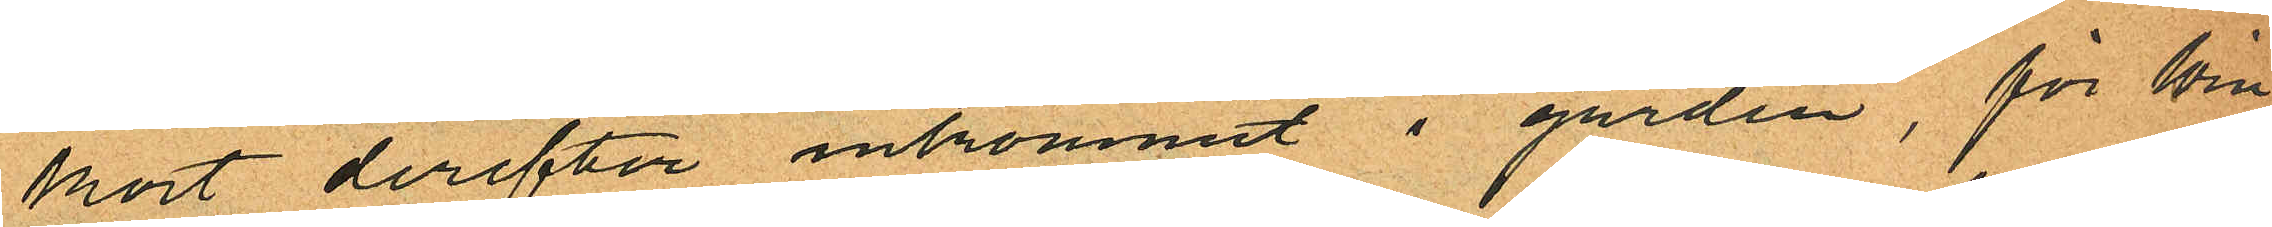kort derefter inkommit i gården, för Win¬
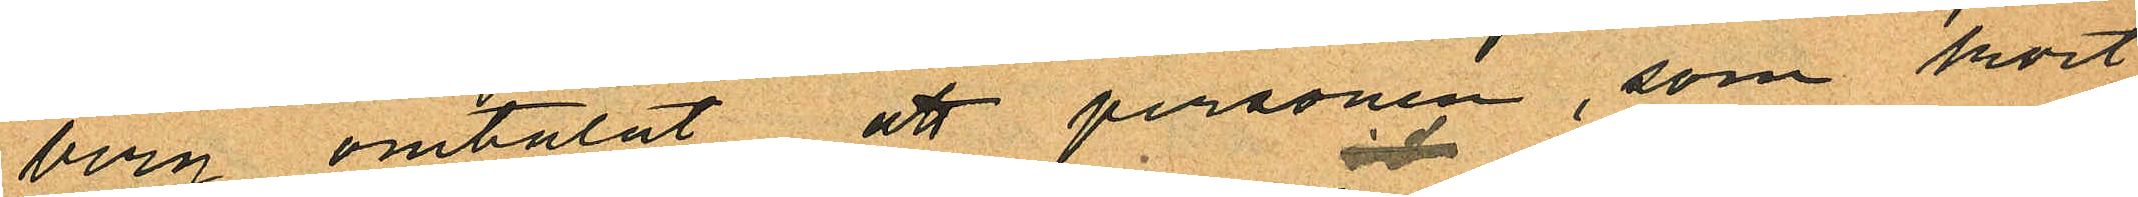berg omtalat att personen, som kort
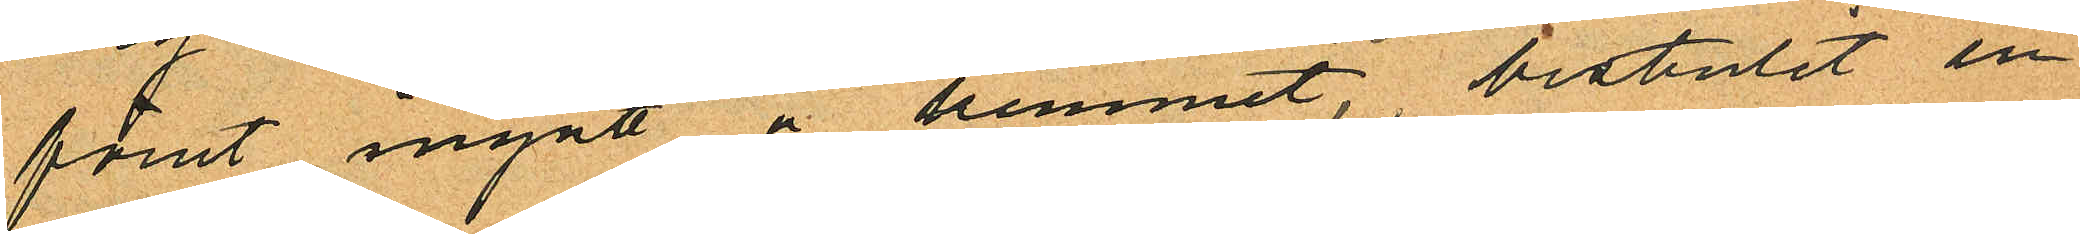förut ingått å hemmet, bestulit en
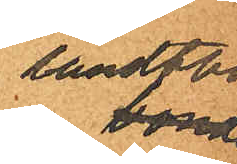landtbo bonde
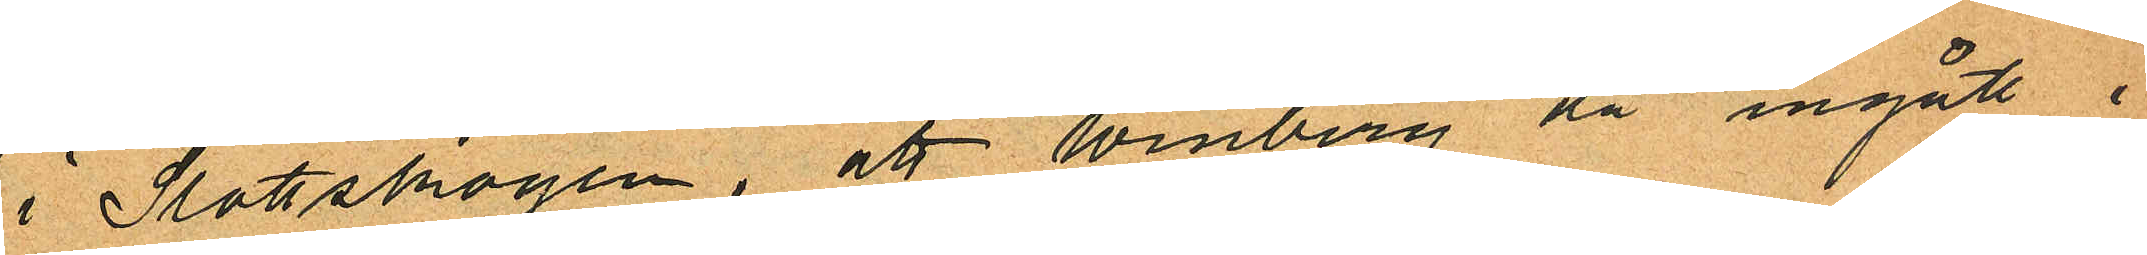i Slottskogen, att Winberg då ingått i
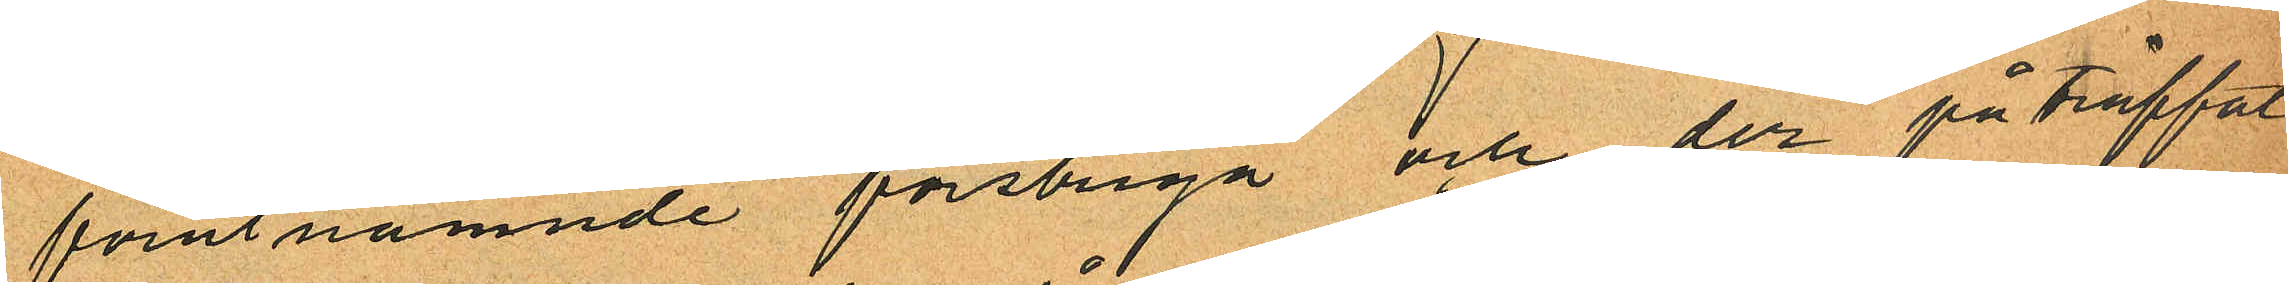förutnämnde förstuga och der påträffat
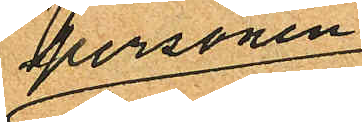personen
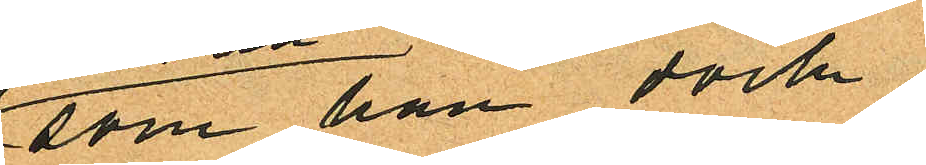som han dock
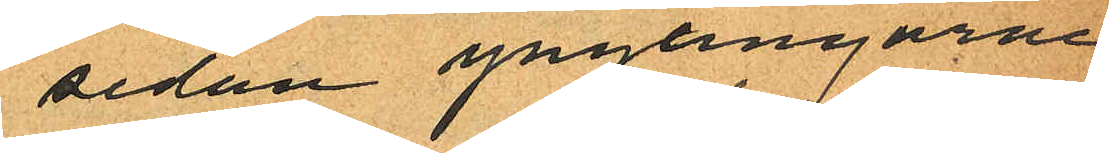sedan ynglingarne
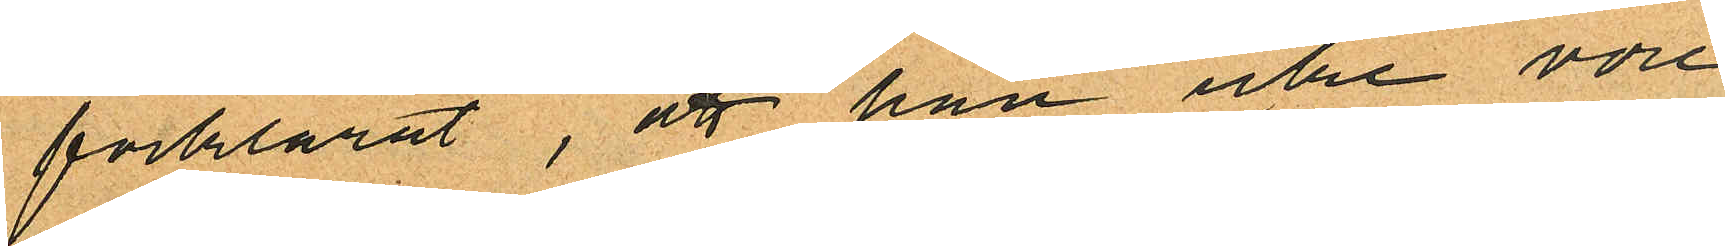förklarat, att han icke vore
